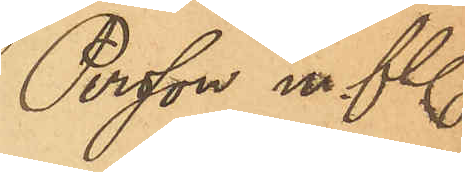Persson m. fl.
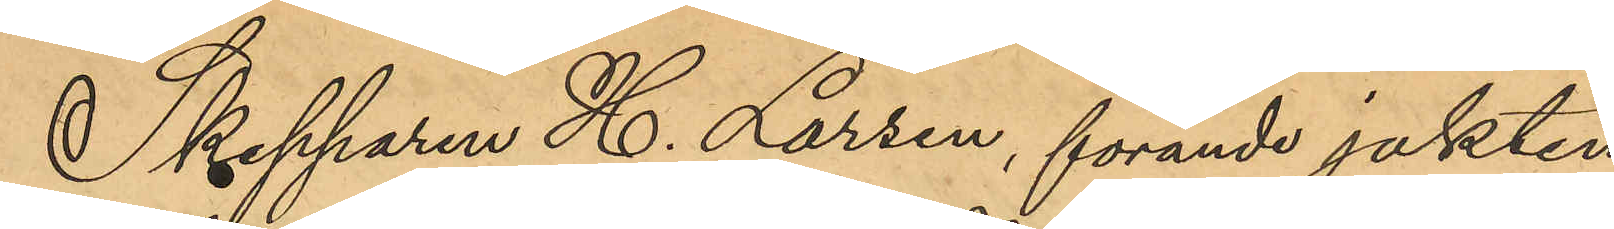Skepparen H. Larsen, förande jakten
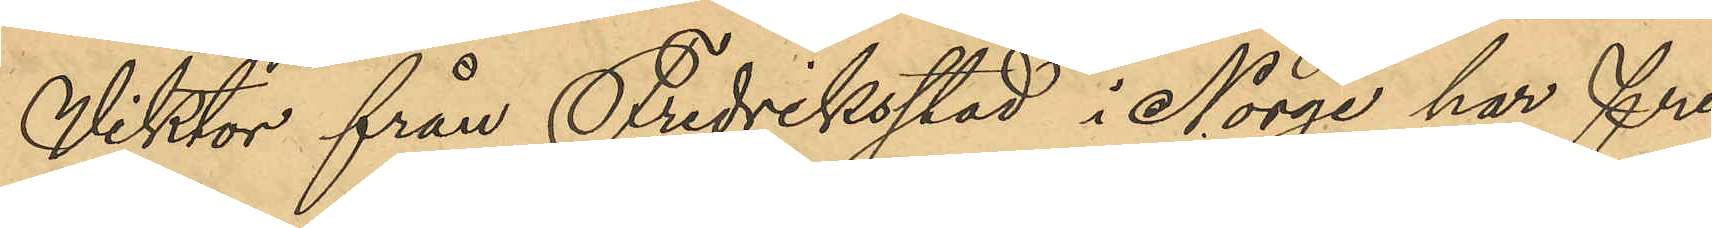Viktor från Fredriksstad i Norge har Fre¬
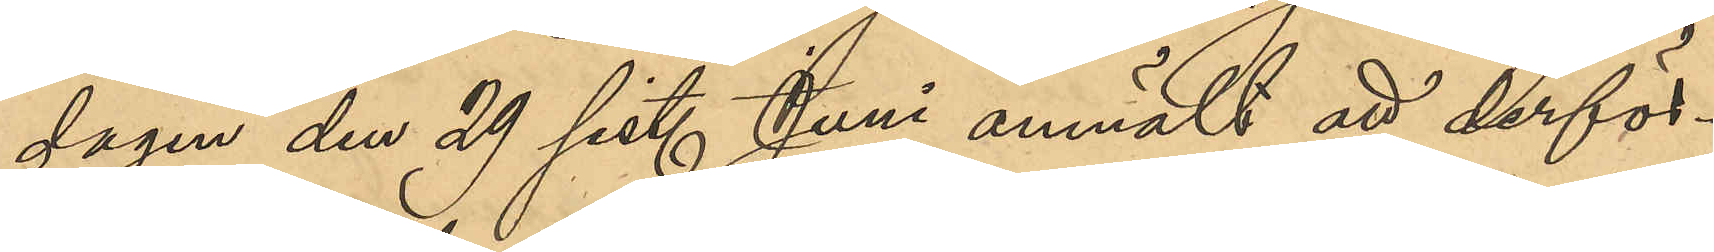dagen den 29 sist. Juni anmält att derför¬
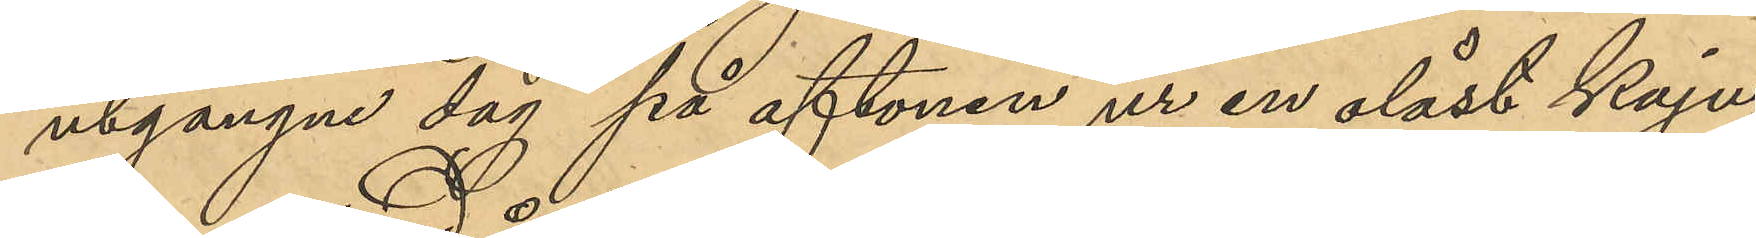utgångne dag på aftonen ur en olåst kaju¬
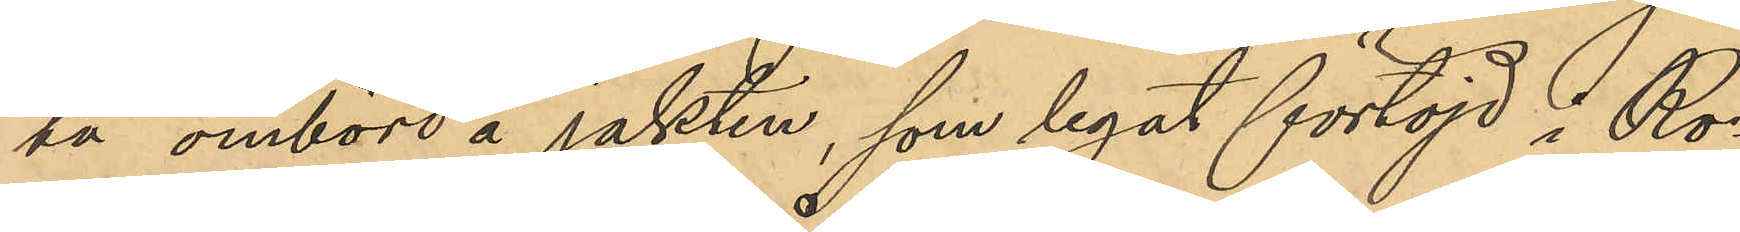ta ombord å jakten, som legat förtöjd i Ro¬
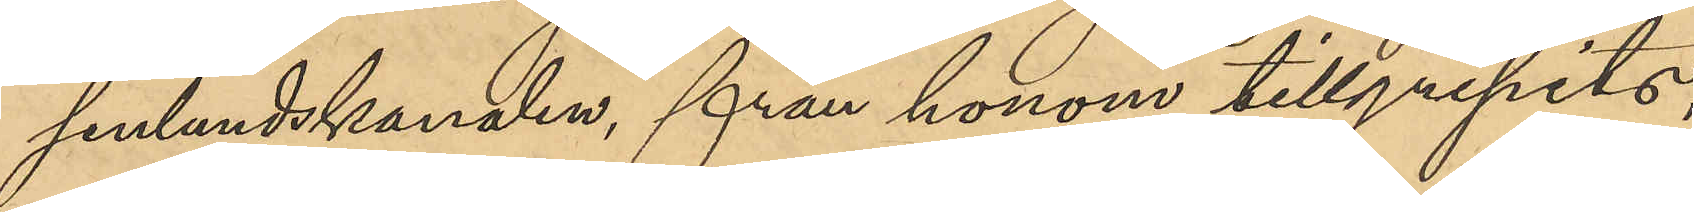senlundskajen, från honom tillgripits,
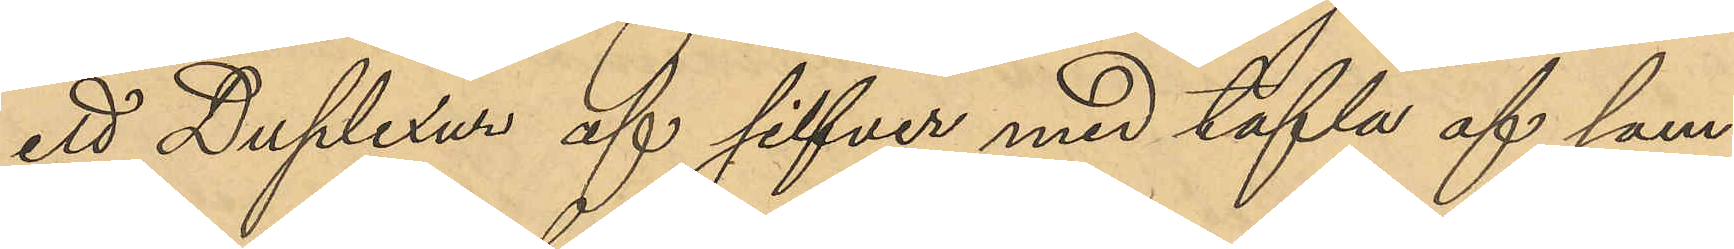ett Duplexur af silfver med tafla af sam¬
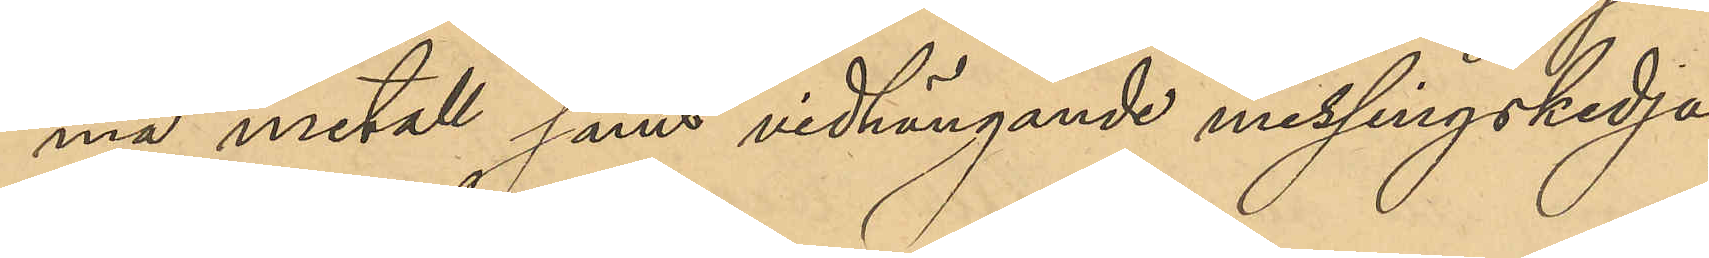ma metall samt vidhängande messingskedja,
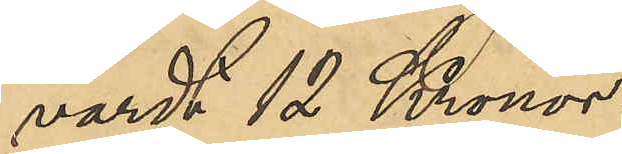värdt 12 Kronor.
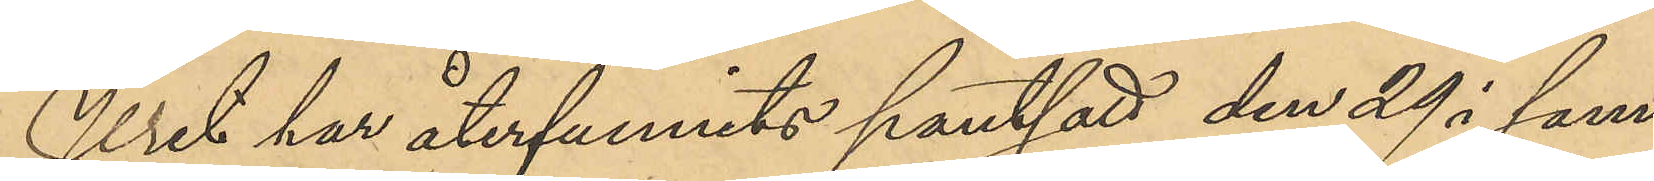Uret har återfunnits pansatt den 29 i sam¬
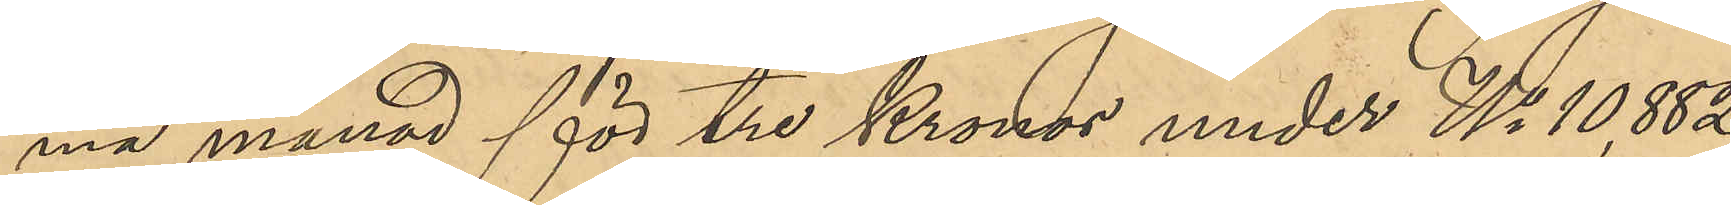ma månad för 3 Kronor under No 10,882
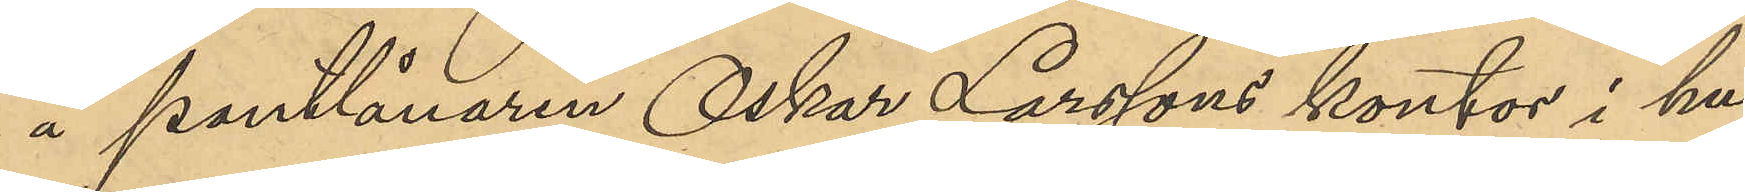å pantlånaren Oskar Larssons kontor i hu¬
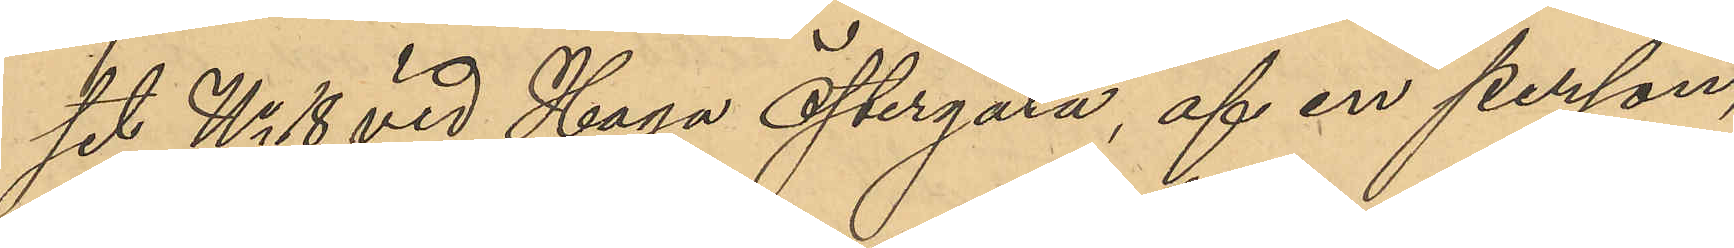set No 18 vid Haga Östergata, af en person
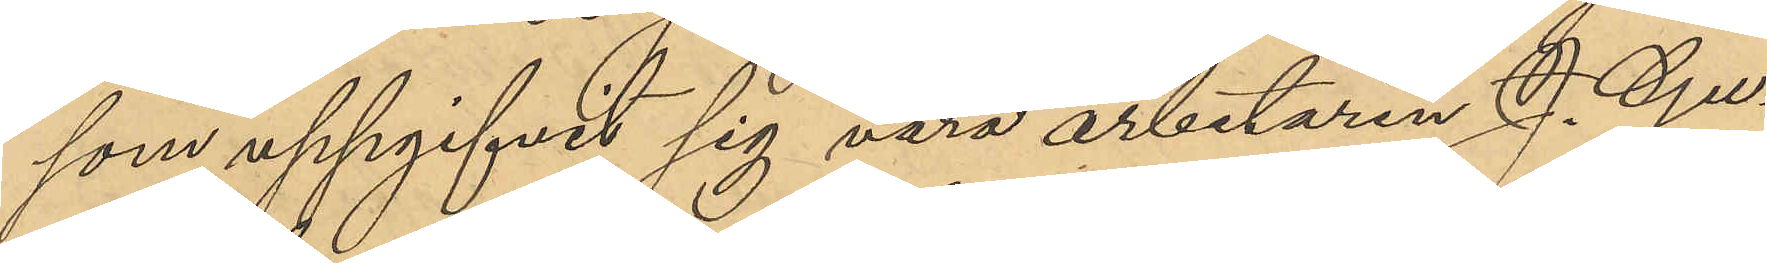som uppgifvit sig vara arbetaren J. Gu¬
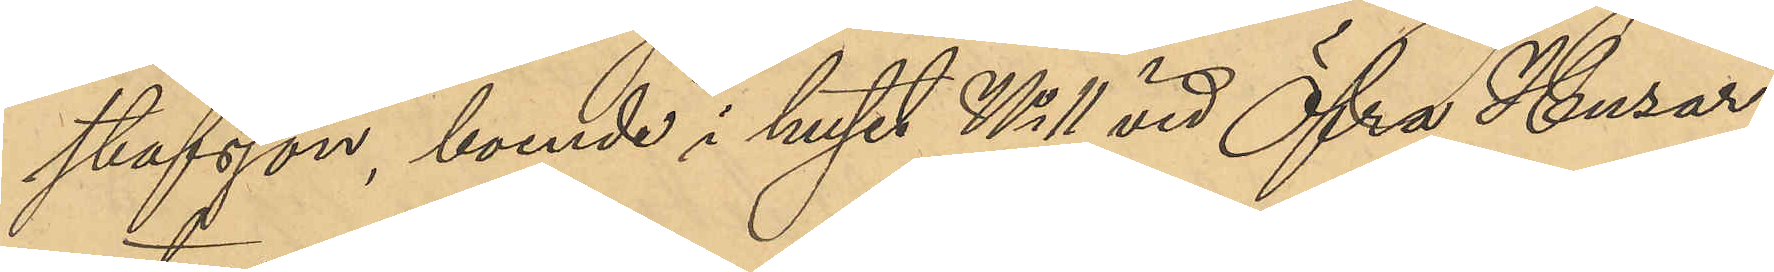stafsson, boende i huset No 11 vid Öfra Husar¬
